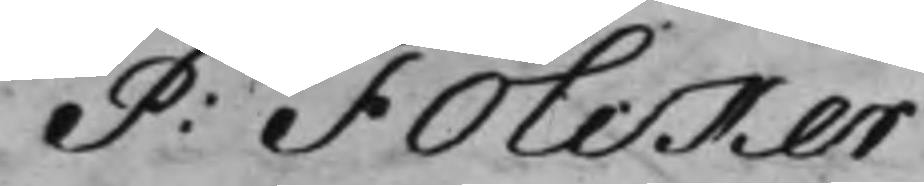P: Folcker
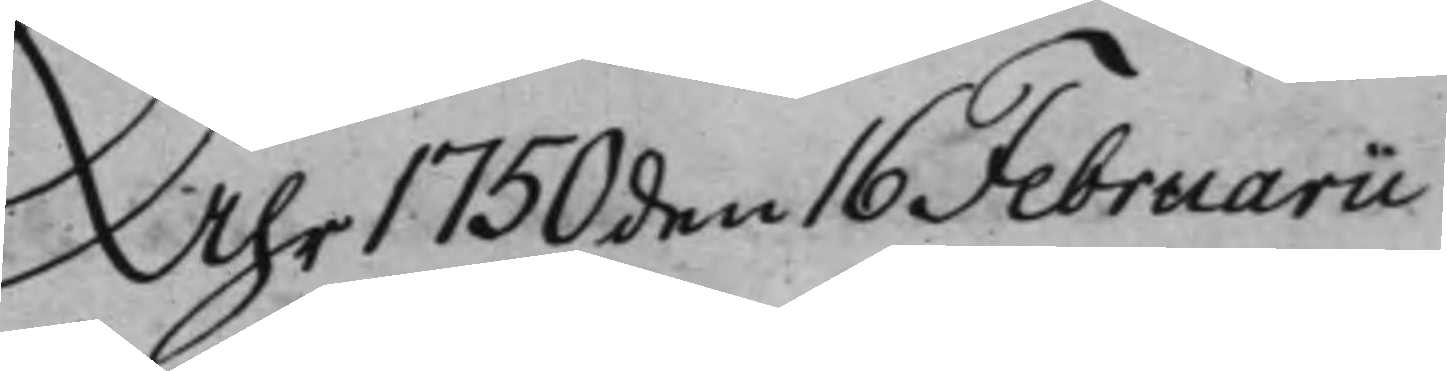Åhr 1750 den 16 Februarii
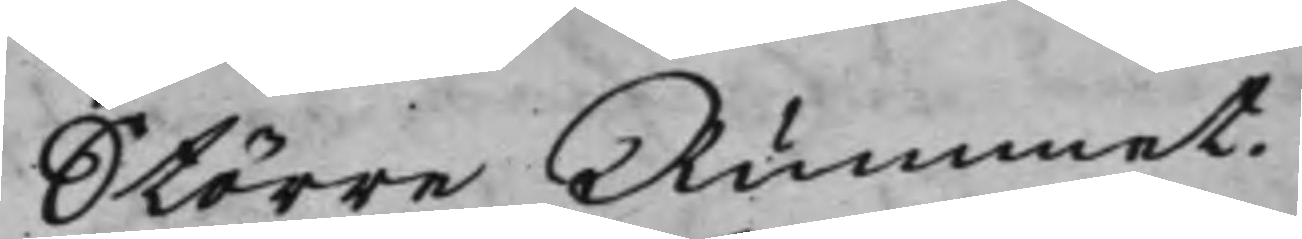Större Rummet.
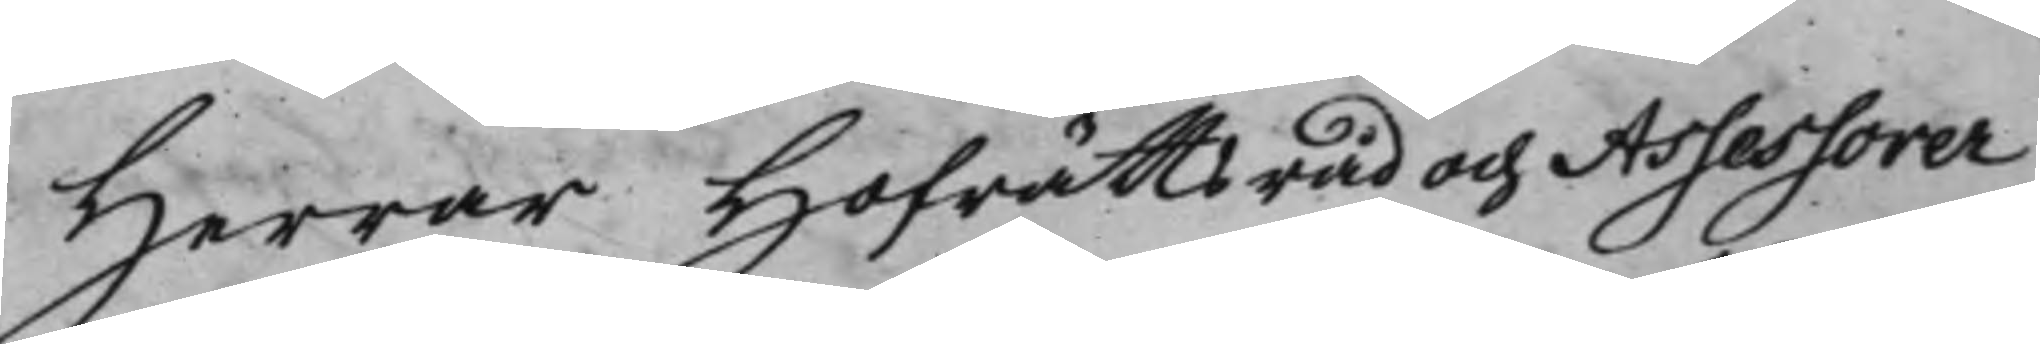Herrar Hofrättsråd och Assessorer
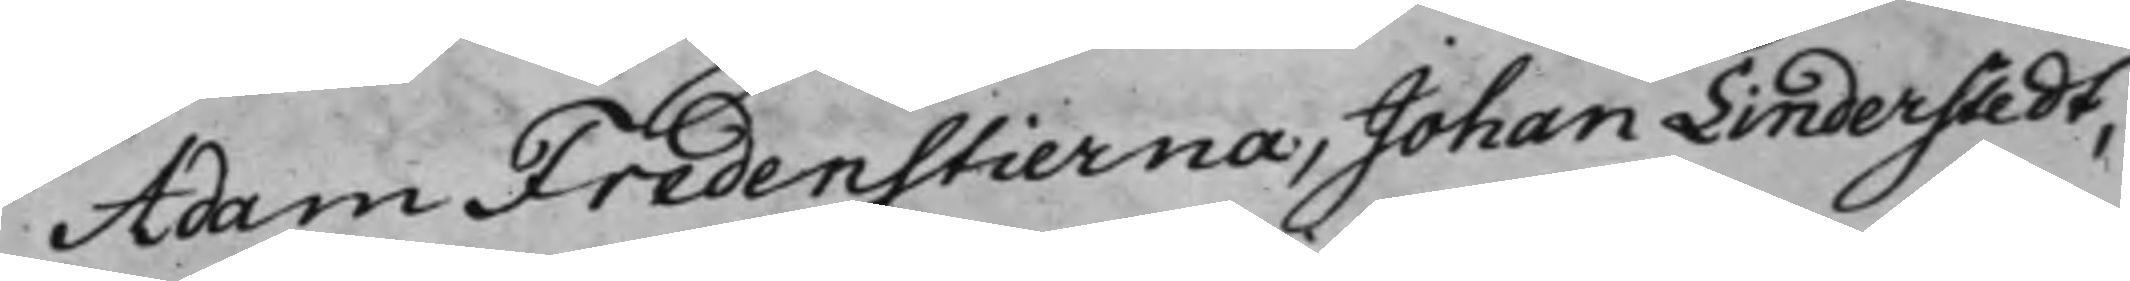Adam Fredenstierna, Johan Linderstedt,
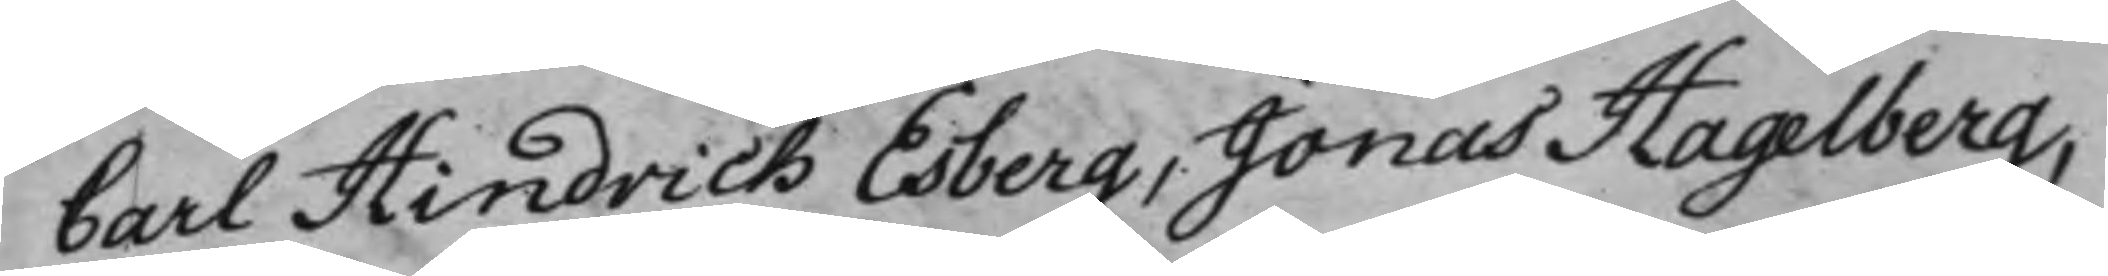Carl Hindrich Esberg, Jonas Hagelberg,
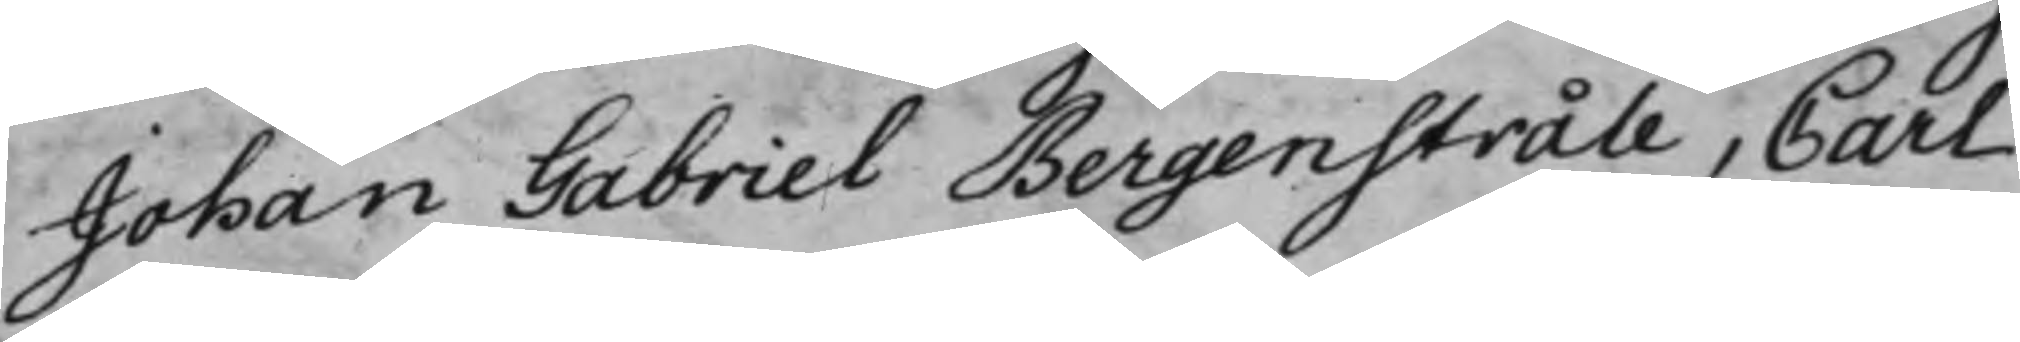Johan Gabriel Bergenstråle, Carl
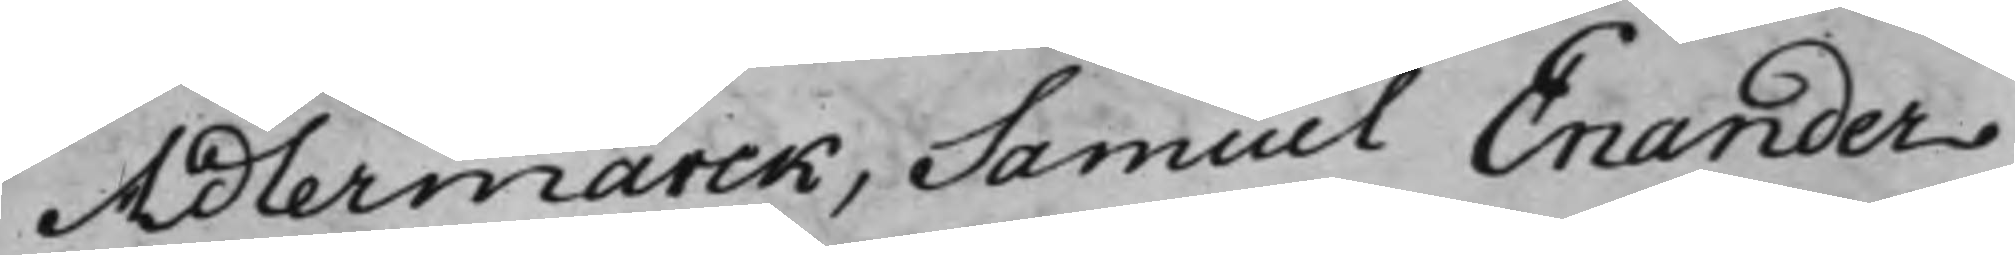Adlermarck, Samuel Enander
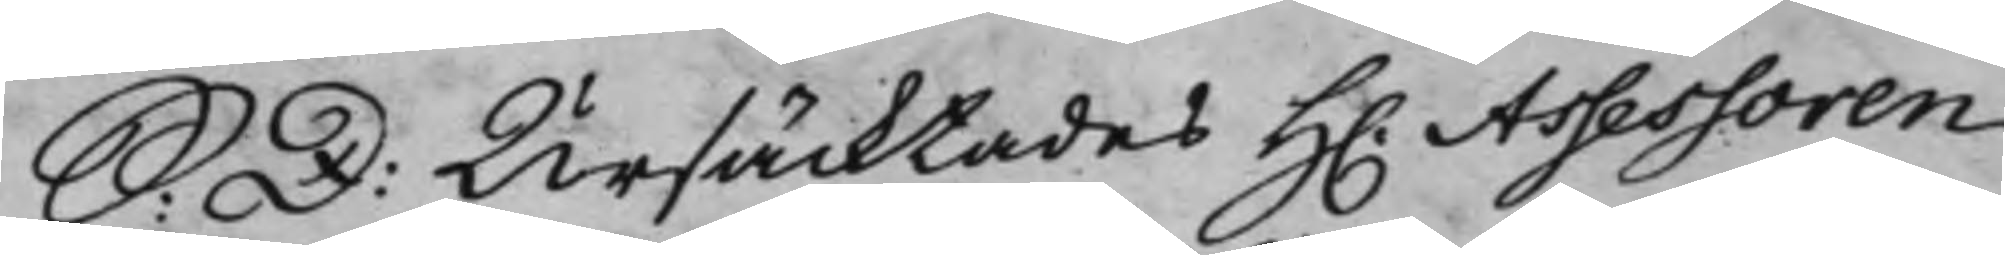S: D: Ursäcktades H. Assessoren
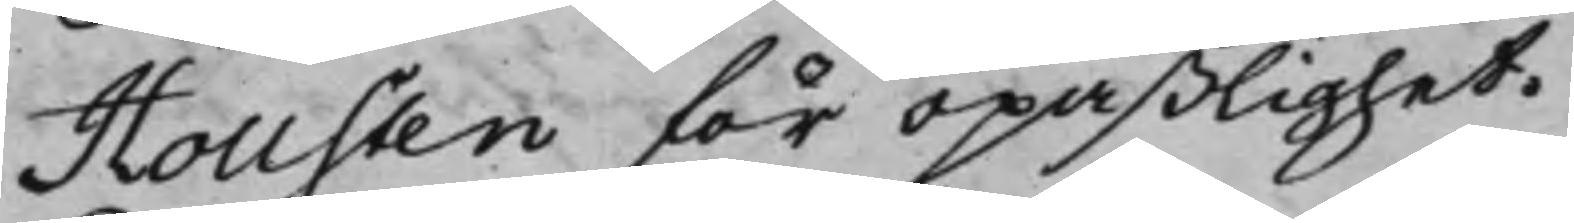Hollsten för opaßlighet.
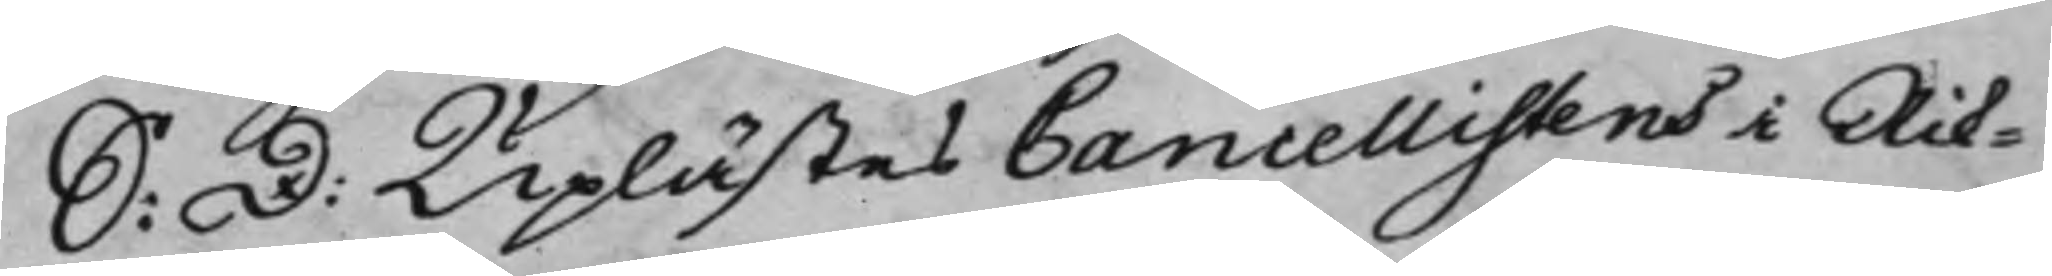S: D: Uplästes Cancellisten i Rik¬
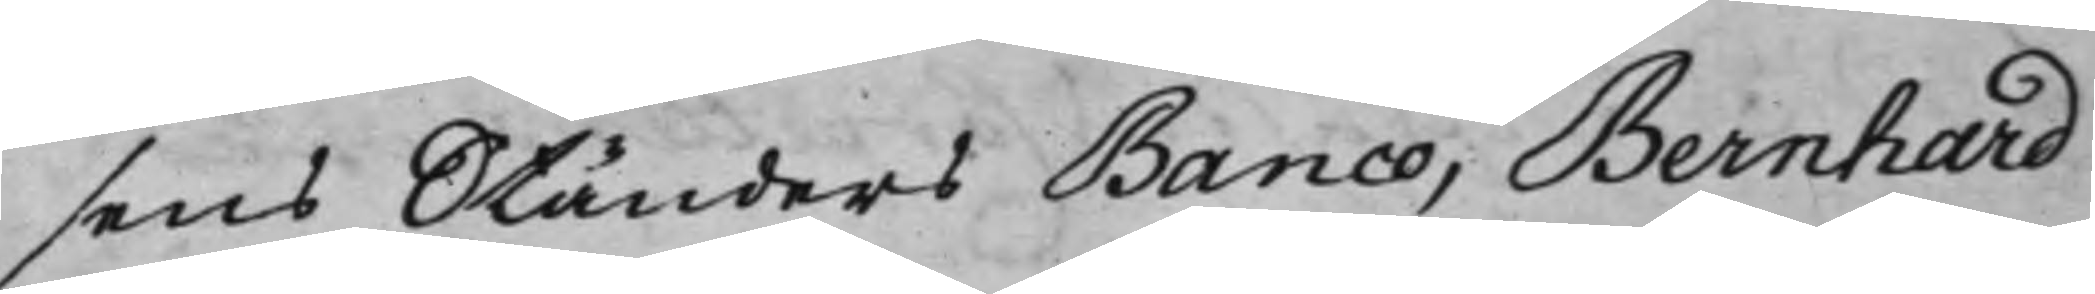sens Ständers Banco, Bernhard
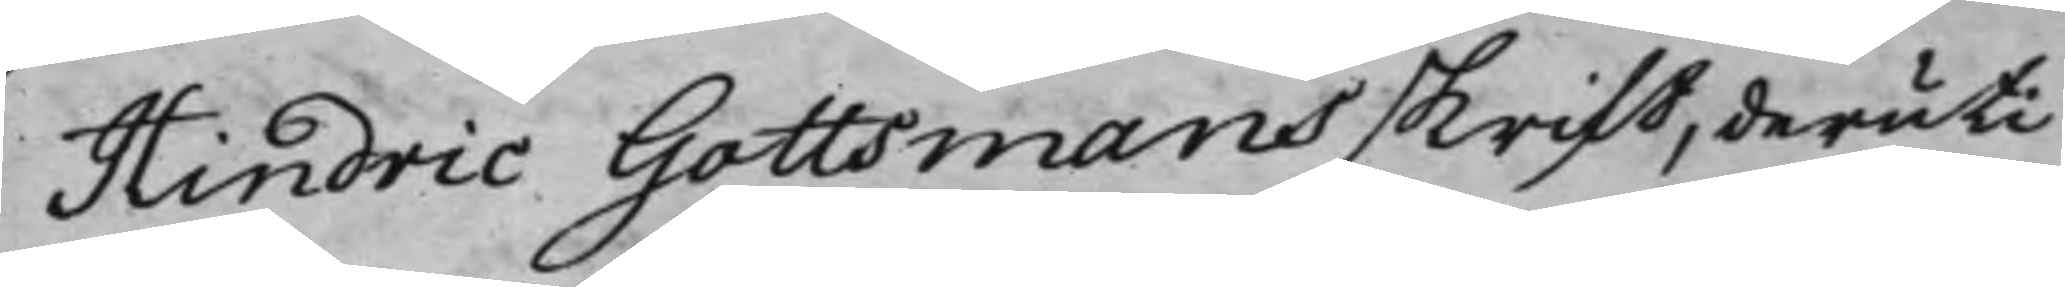Hindric Gottsmans skrift, deruti
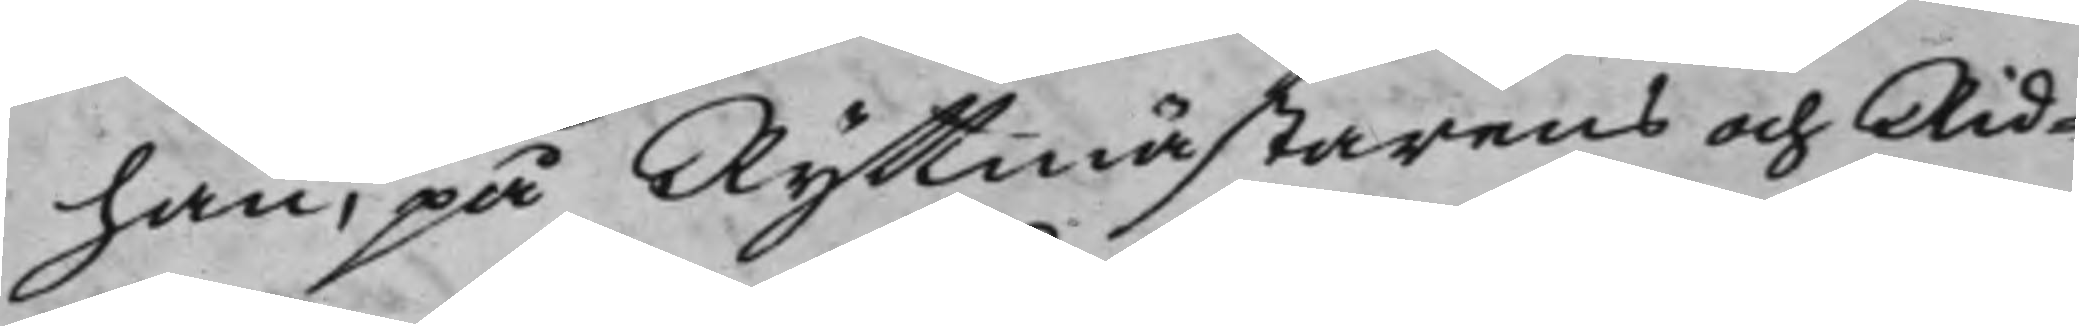han, på Ryttmästarens och Rid¬
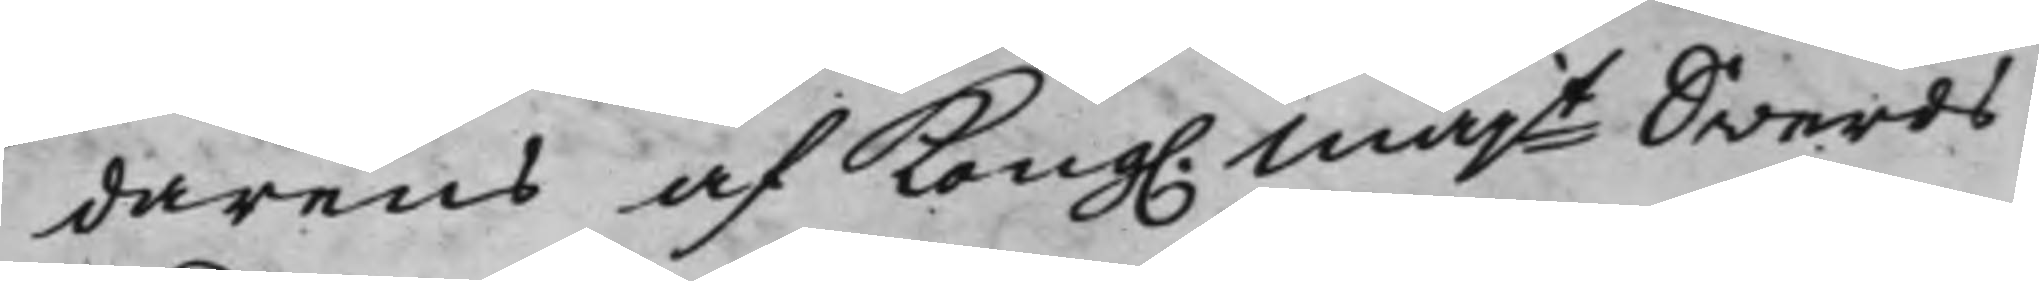darens af Kong. Majt Swerds¬
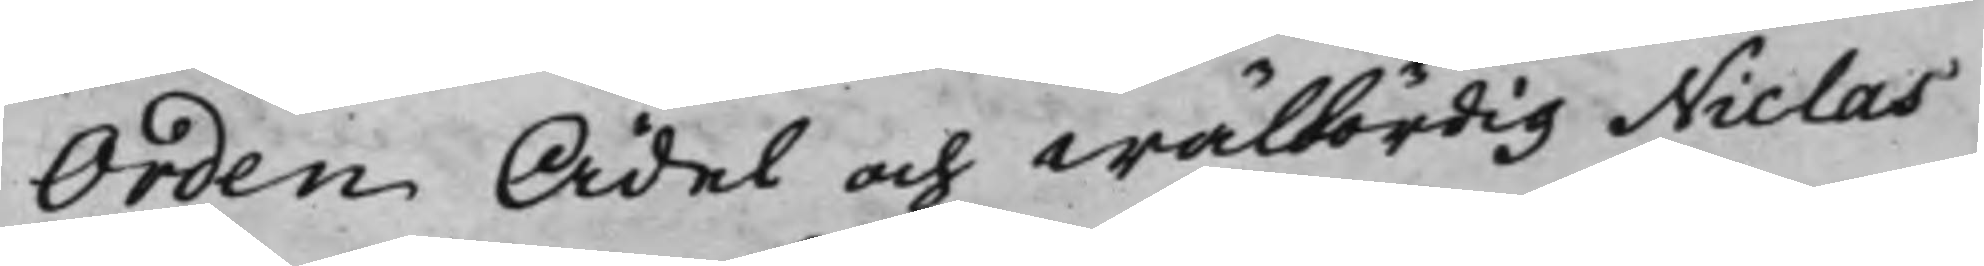Orden Ädel och Wälbördig Niclas
